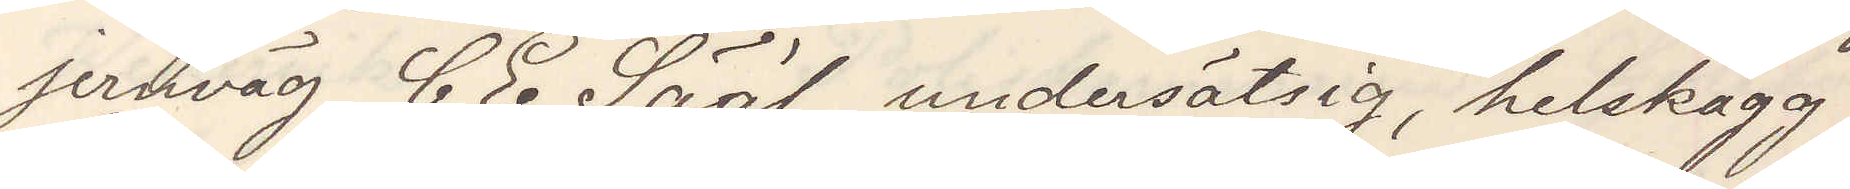jernväg C E Sääf, undersätsig, helskägg,
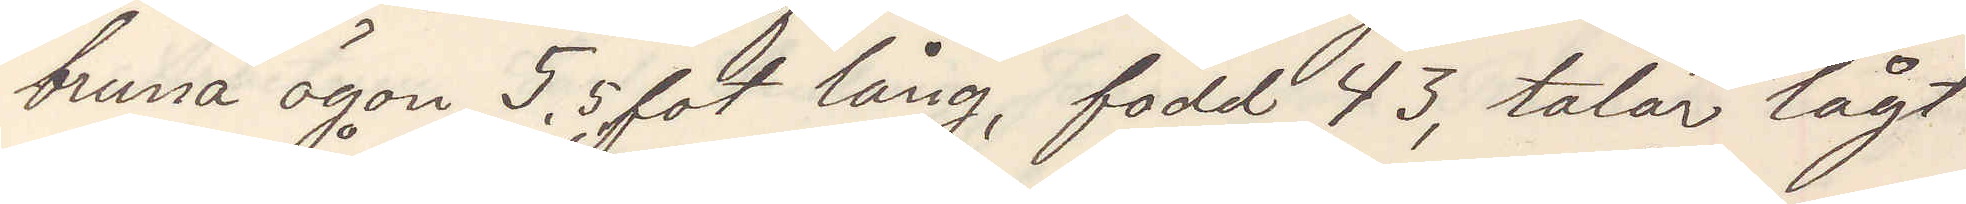bruna ögon 5,5 fot lång, född 43, talar lågt
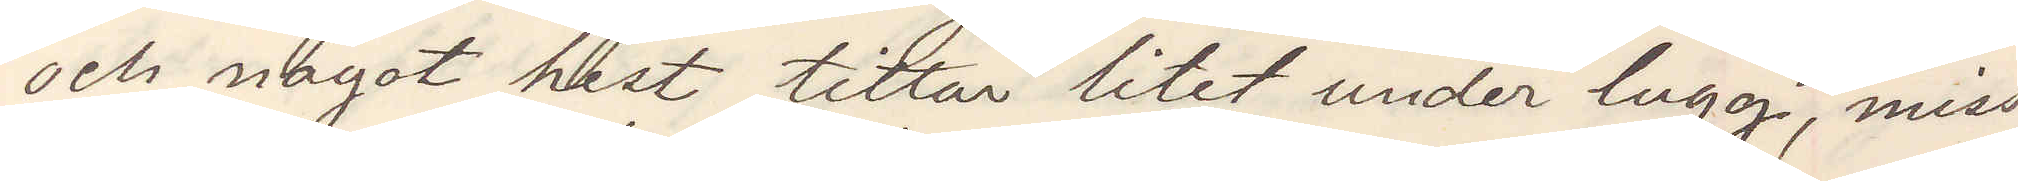och något hest tittar litet under lugg, miss¬
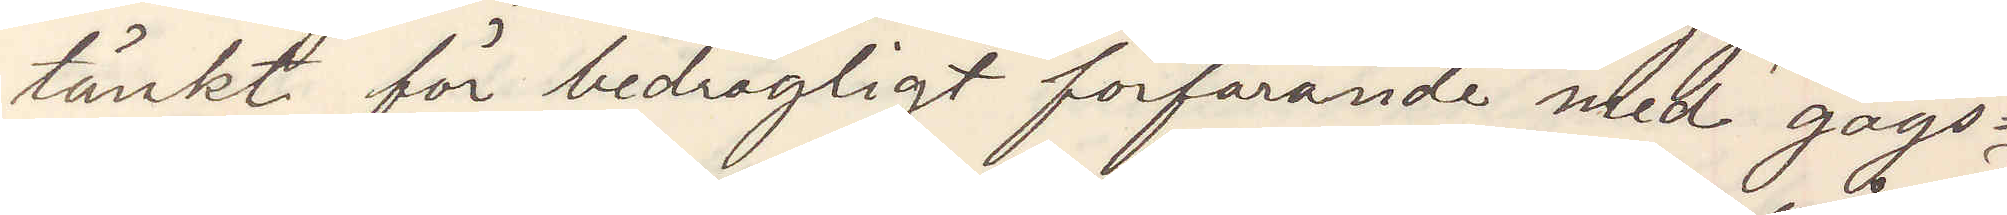tänkt för bedrägligt förfarande med gags¬
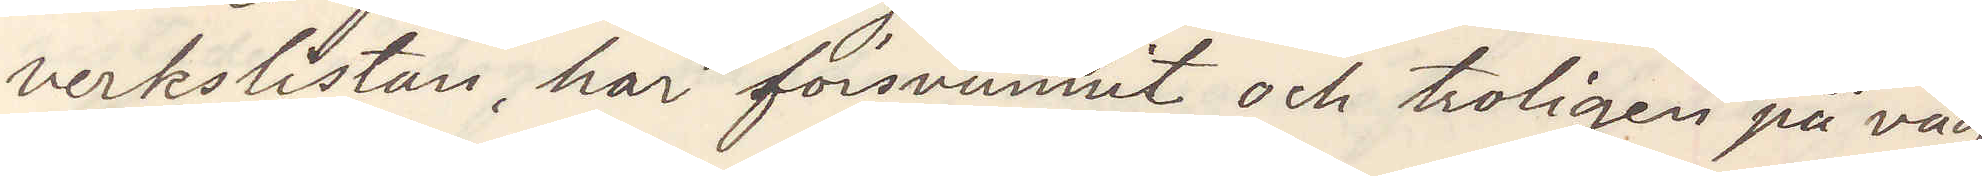verkslistan, har försvunnit och troligen på vag
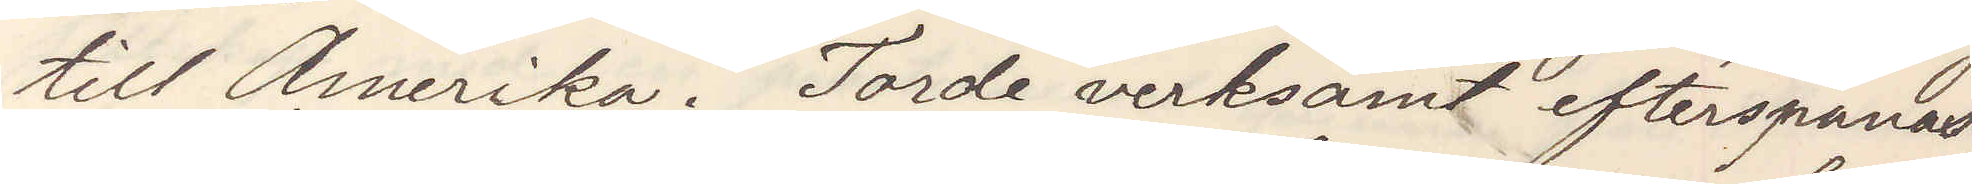till Amerika. Torde verksamt efterspanas,
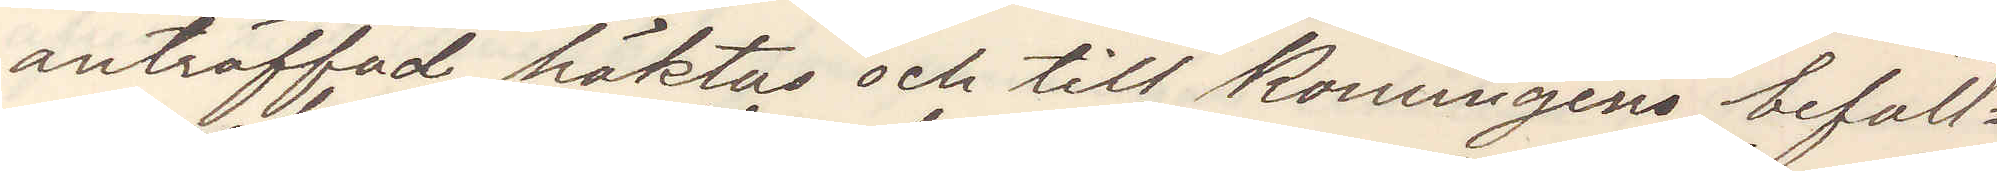anträffad häktas och till Konungens befall¬
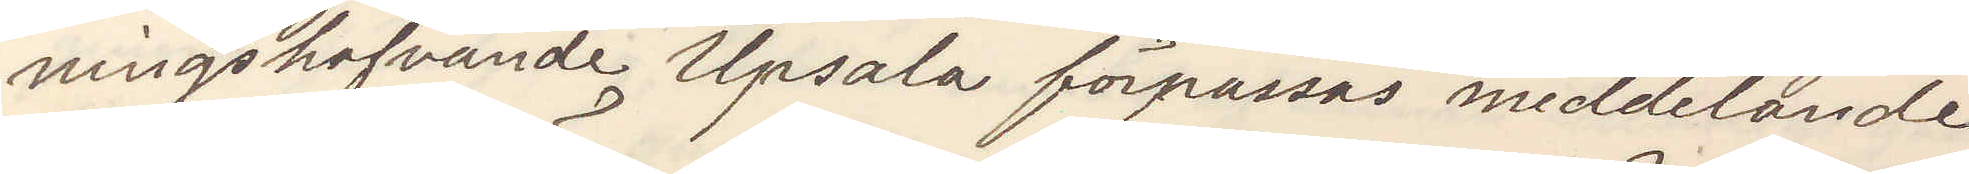ningshafvande Upsala förpassas meddelande
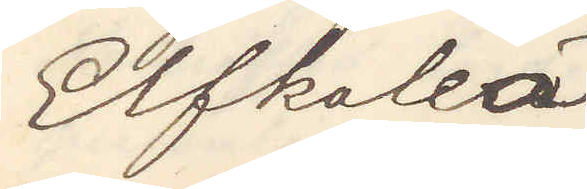Elfkaleå
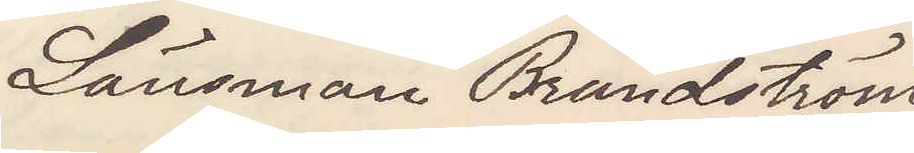Länsman Brändström.
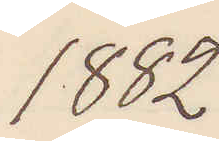1882
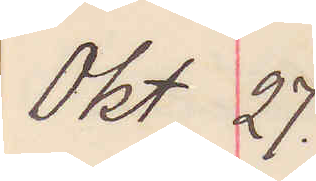Okt 27.
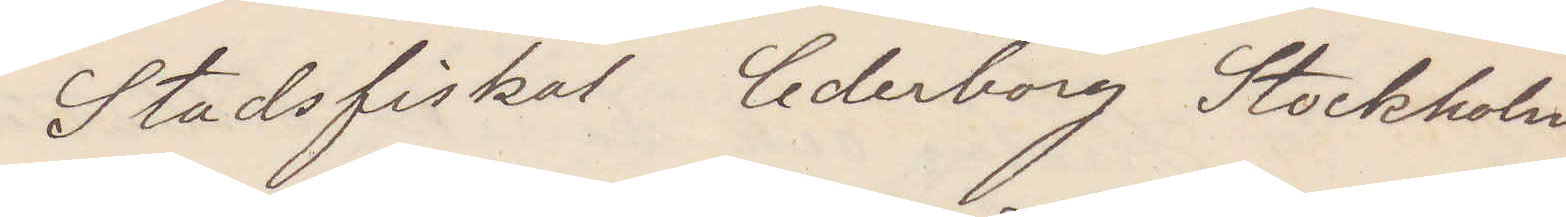Stadsfiskal Cederborg Stockholm
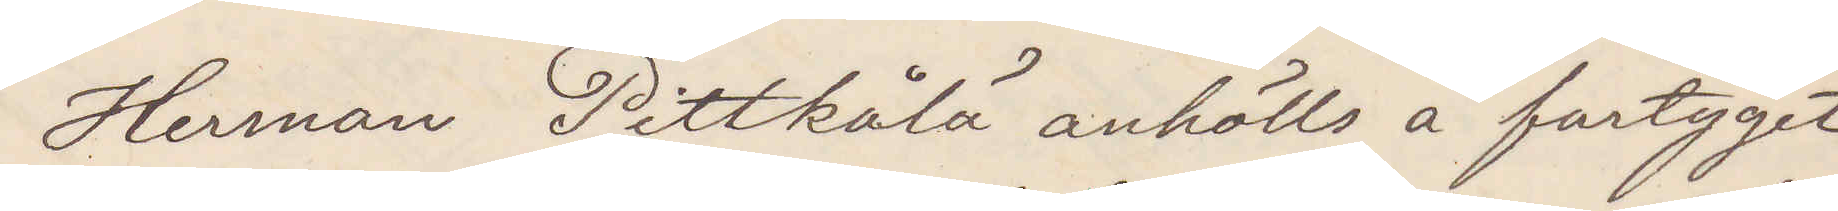Herrman Pittkålä anhölls å fartyget
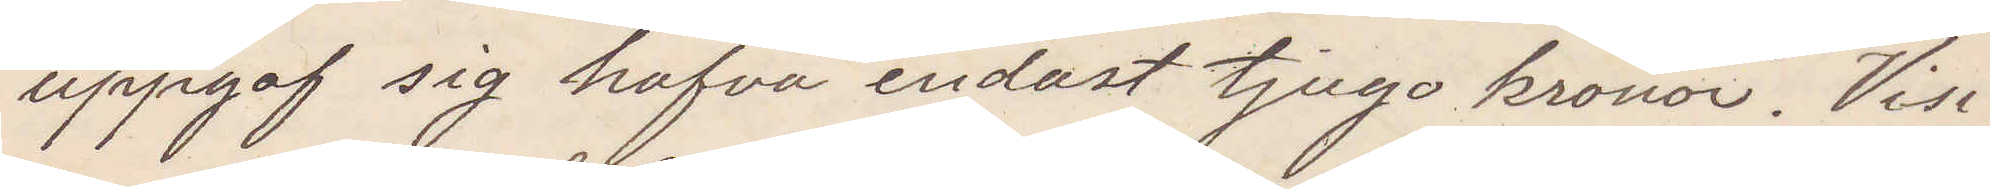uppgaf sig hafva endast tjugo kronor. Visi¬
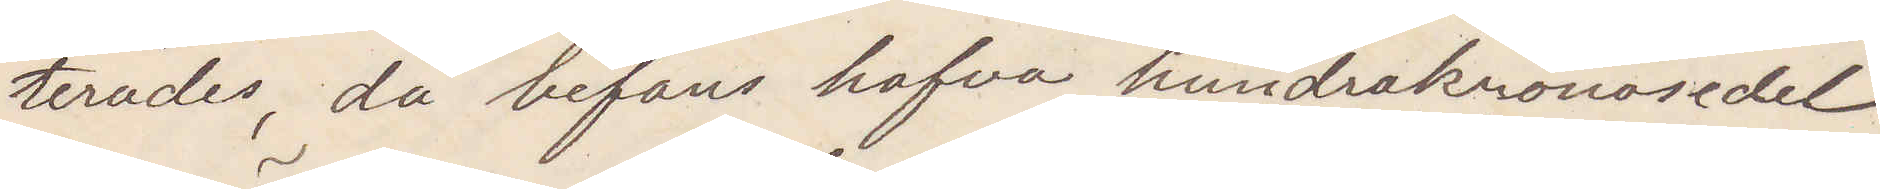terades, då befans hafva hundrakronsedel
